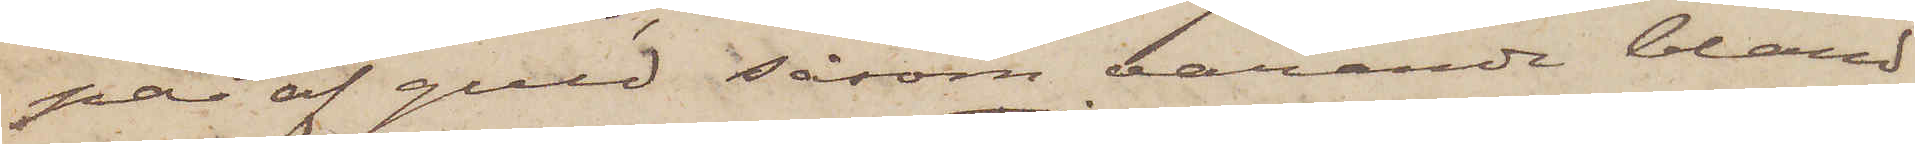par af guld såsom varande bland
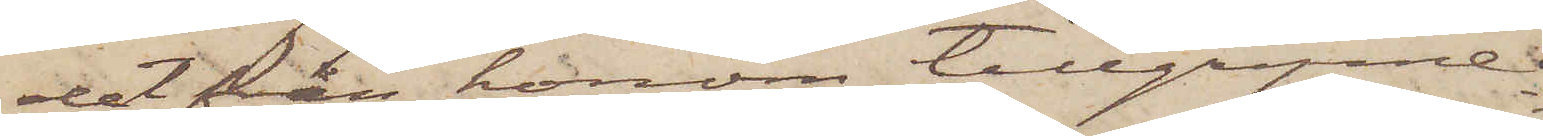det från honom tillgripne.
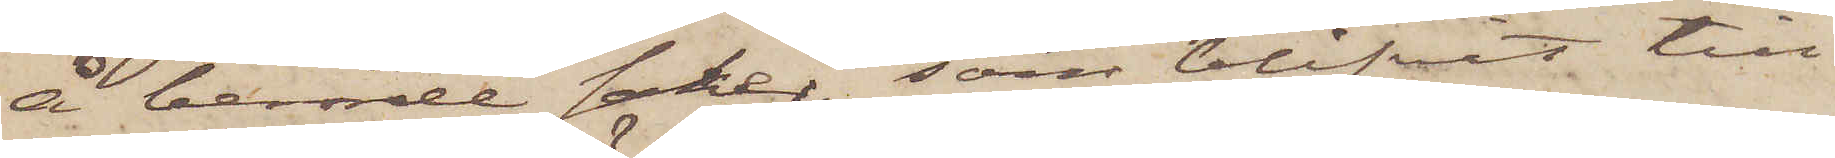Å berörde saker, som blifvit till¬
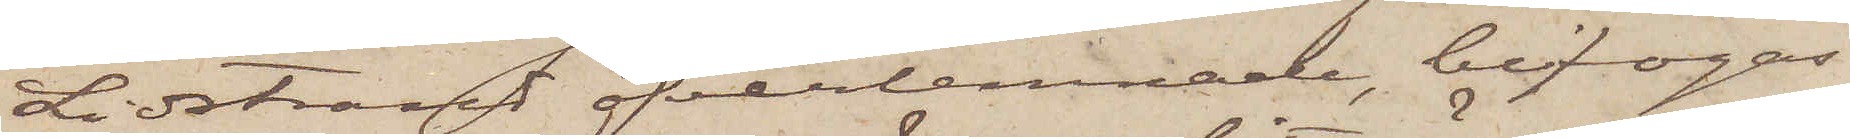Lidstrand öfverlemnade, bifogas
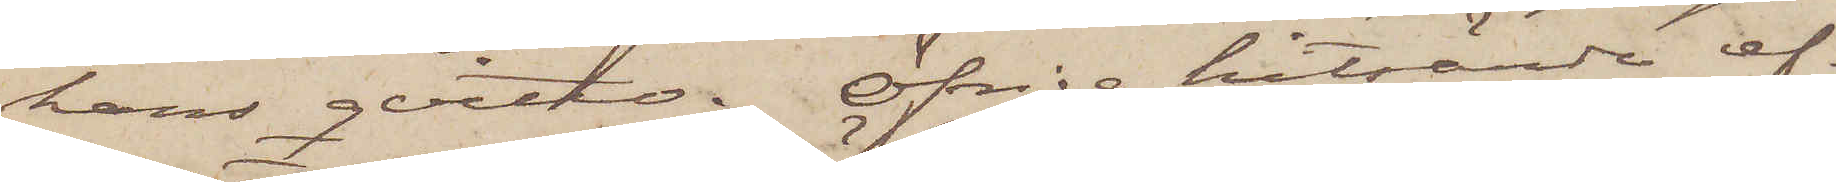hans qvitto. Öfriga hitsände ef¬
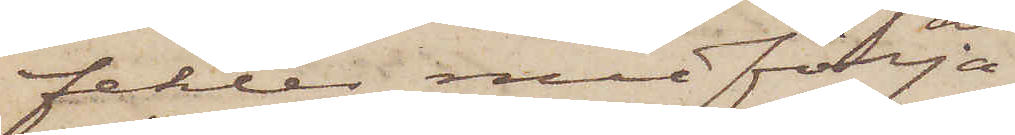fekter medfölja
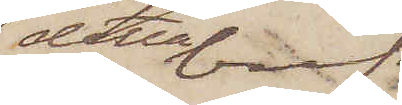detta bref.
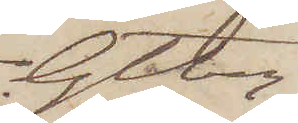Gtbrg
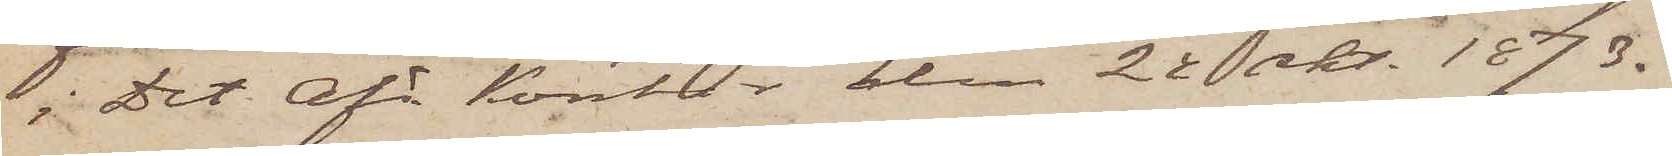i Det Afd. Kontor den 22 okt. 1873.
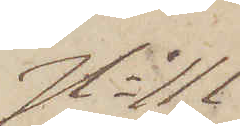No 111
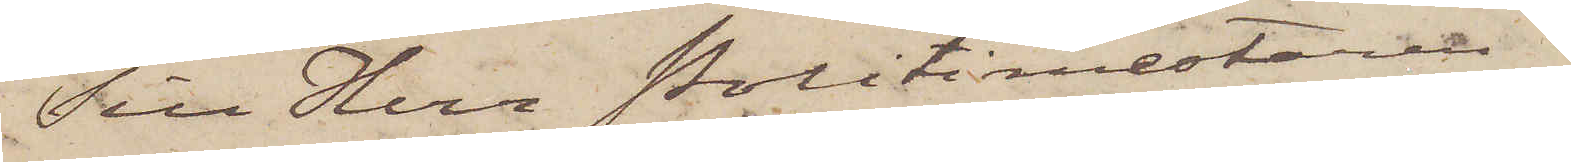Till Herr Politimestaren i
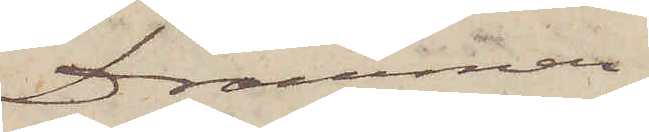Drammen
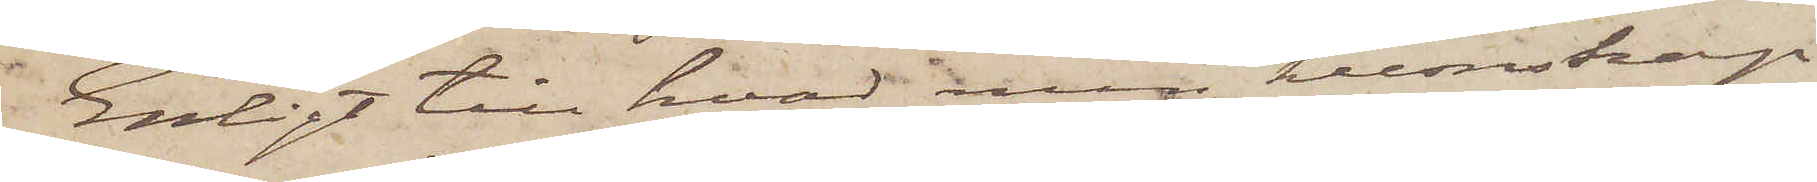Enligt till hvad min kunskap
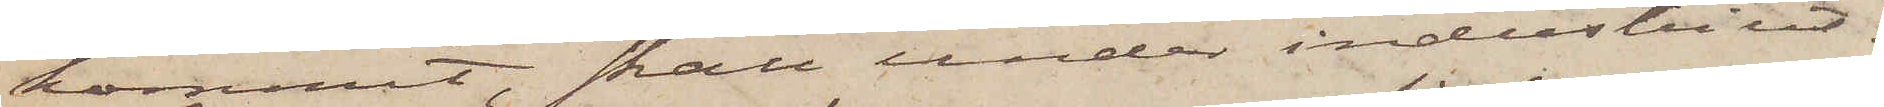kommit, skall under industriut¬
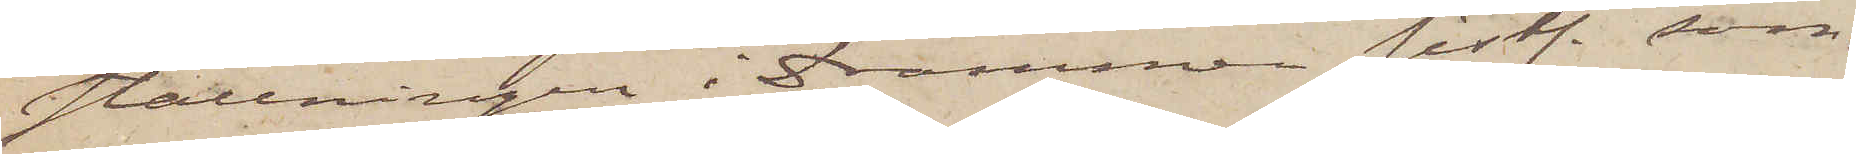ställningen i Drammen sistl. som¬
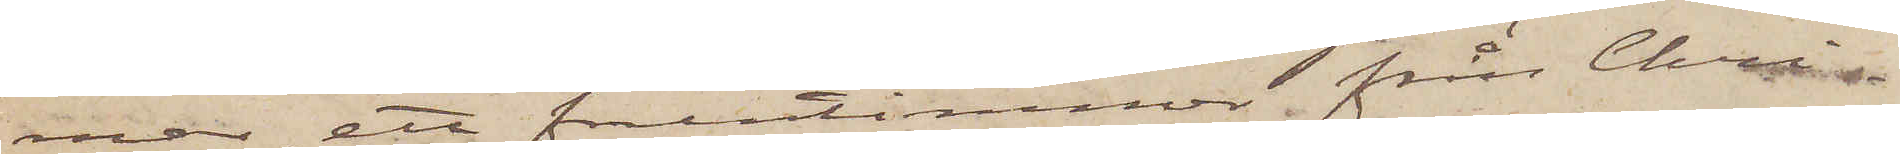mar ett fruntimmer från Chri¬
